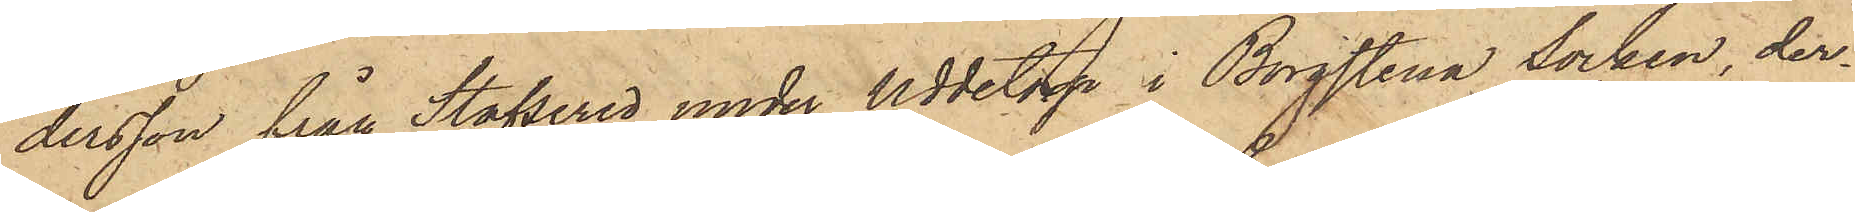dersson från Stafsered under Uddetorp i Borgstena Socken, der¬
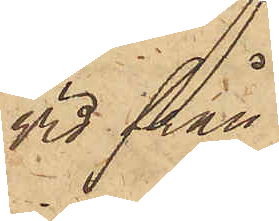vid från
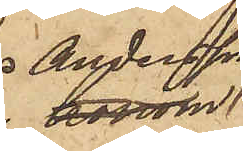Andersson
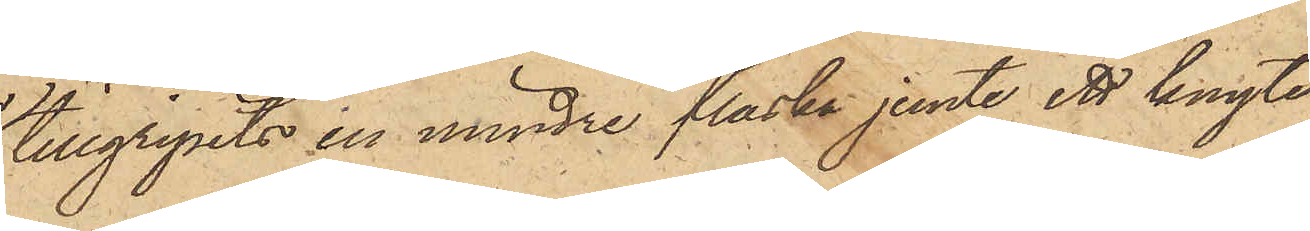tillgripits en mindre flaska jemte ett knyte,
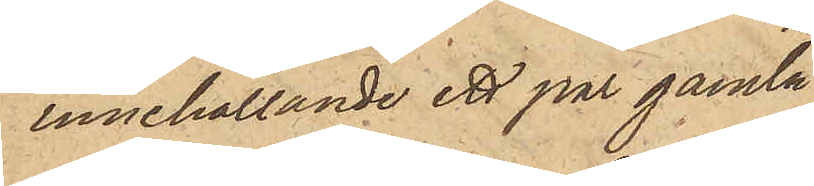innehållande ett par gamla
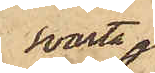svarta
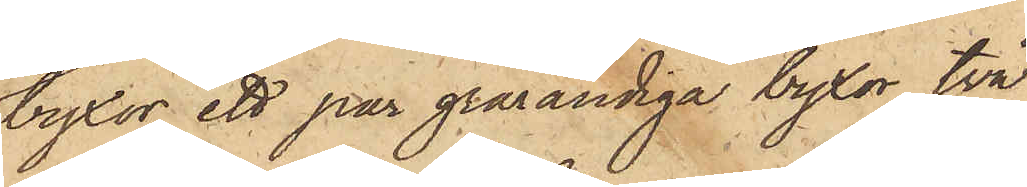byxor, ett par grårandiga byxor, två
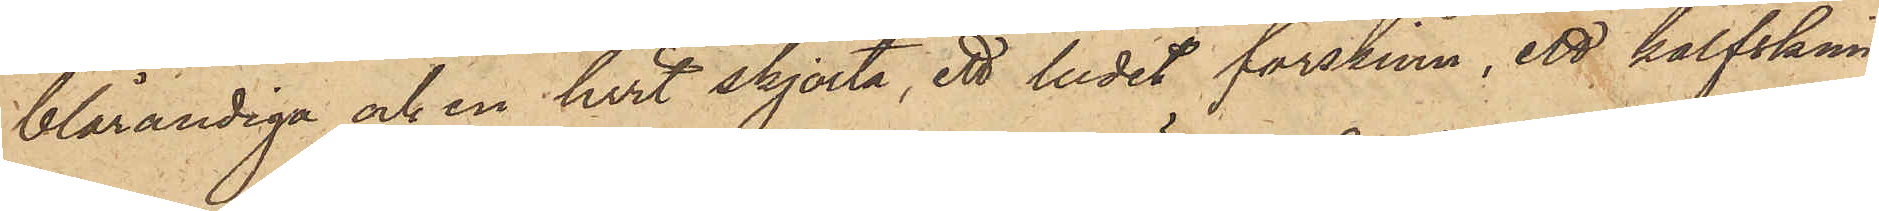blårandiga och en hvit skjorta, ett ludet fårskinn, ett kalfskinn
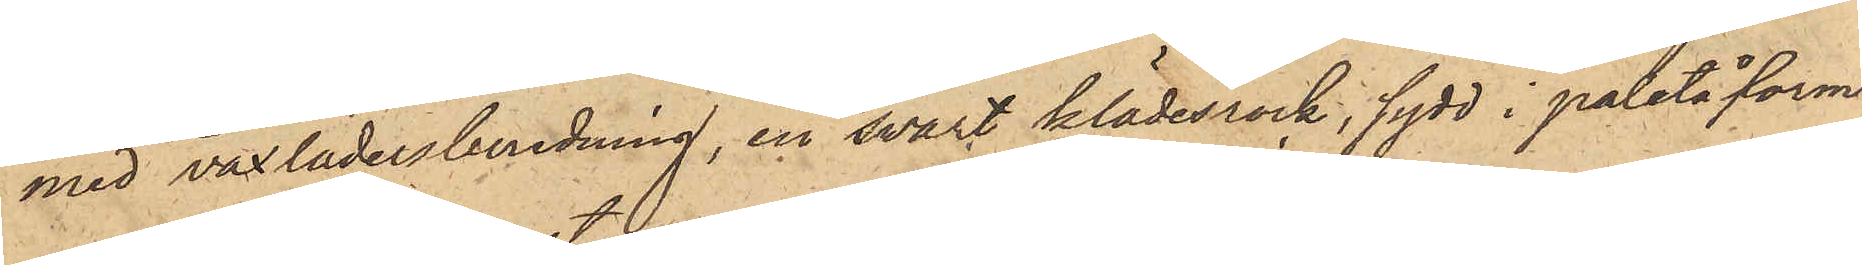med vaxlädersberedning, en svart klädesrock, sydd i paletåform
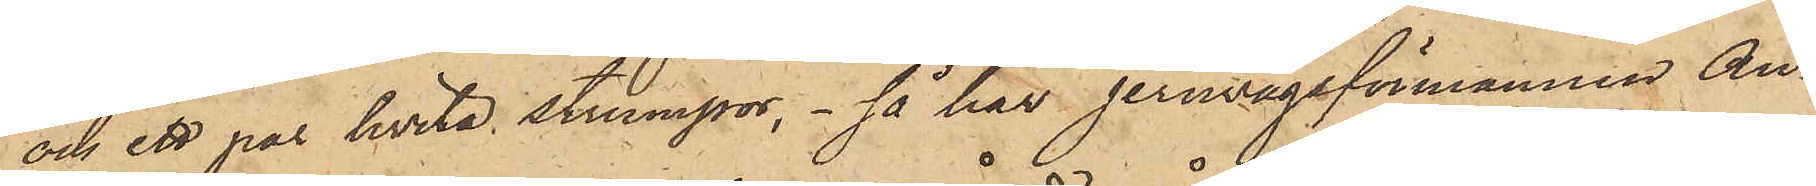och ett par hvita strumpor, så har jernvägsförmannen An¬
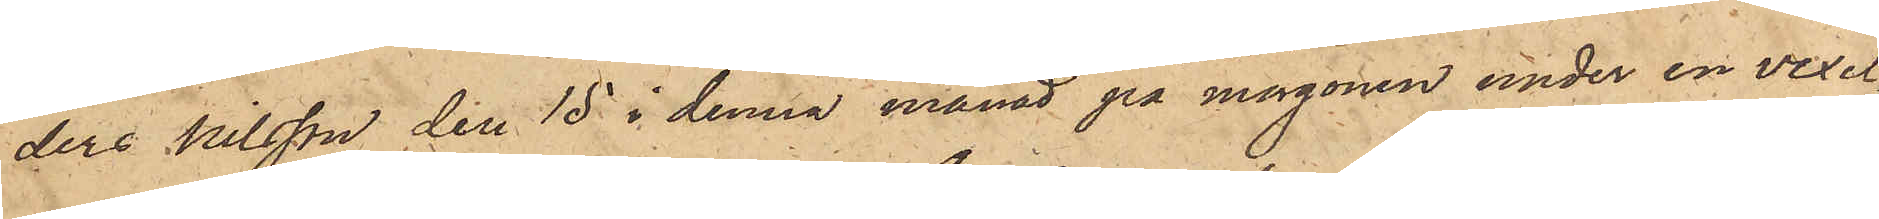ders Nilsson den 15 i denna månad på morgonen under en vexel¬
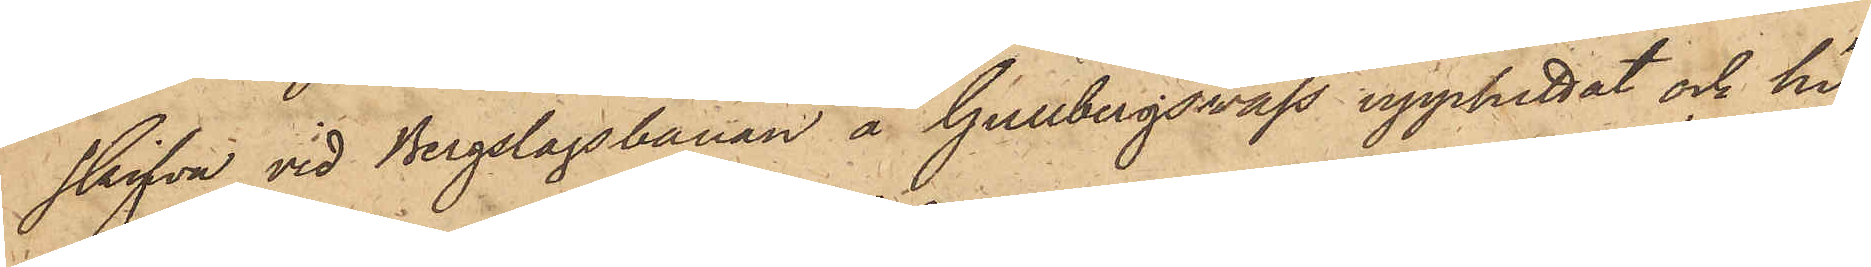skifva vid Bergslagsbanan å Gullbergsvass upphittat och hit
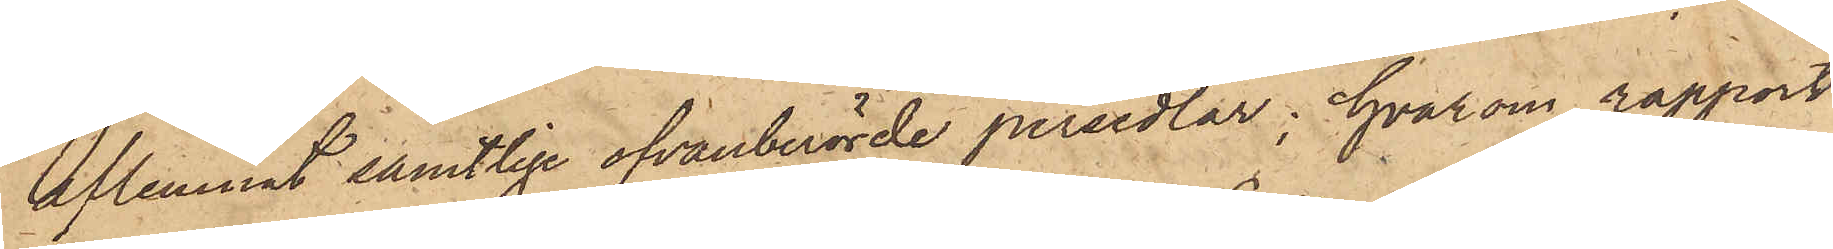aflemnat samtlige ofvanberörde persedlar; hvarom rapport
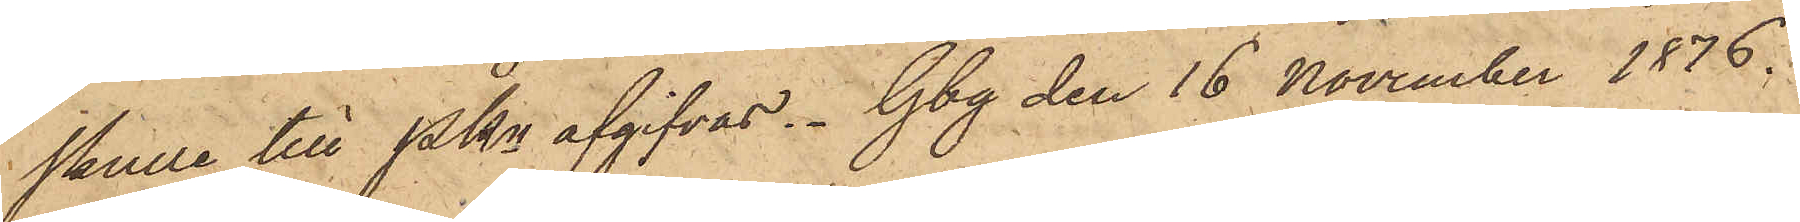skulle till Pkn afgifvas. Gbg den 16 November 1876.
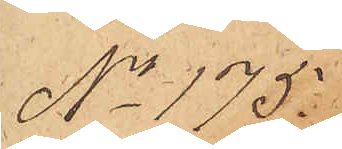No 175
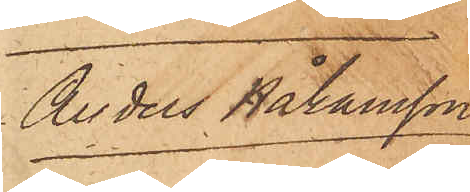Anders Håkansson
